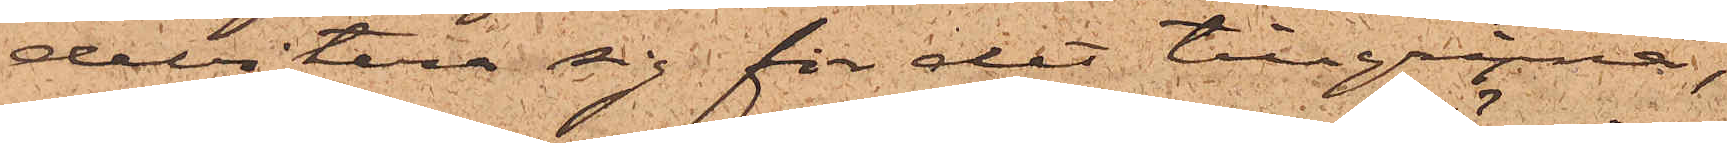debitera sig för det tillgripna,
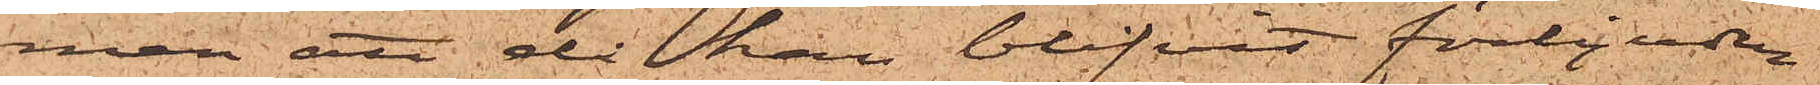men att då han blifvit förbjuden
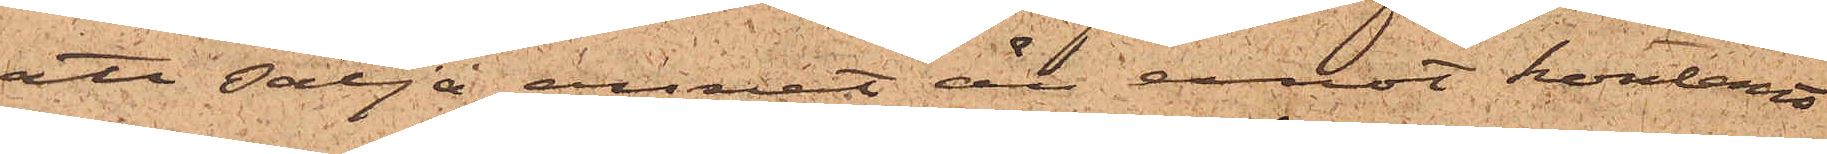att sälja annat än emot kontant
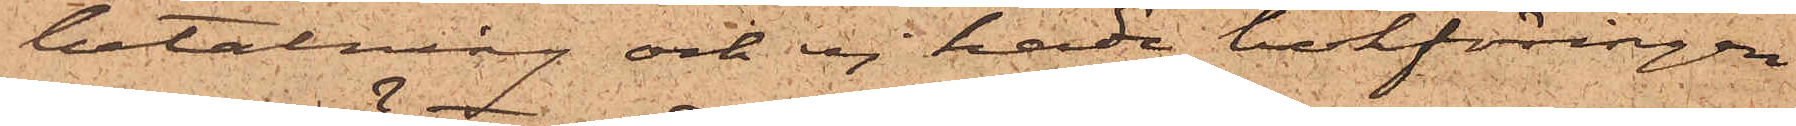betalning och ej hade bokföringen
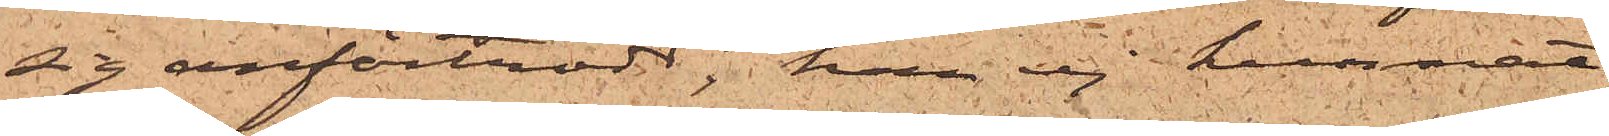sig anförtrodd, han ej kunnat
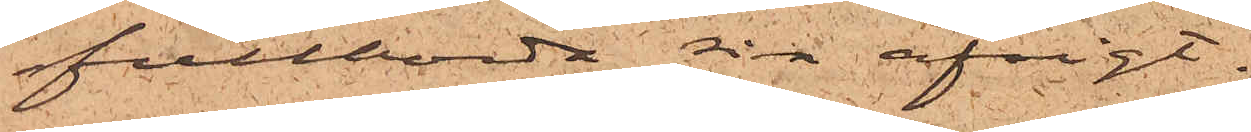fullborda sin afsigt.
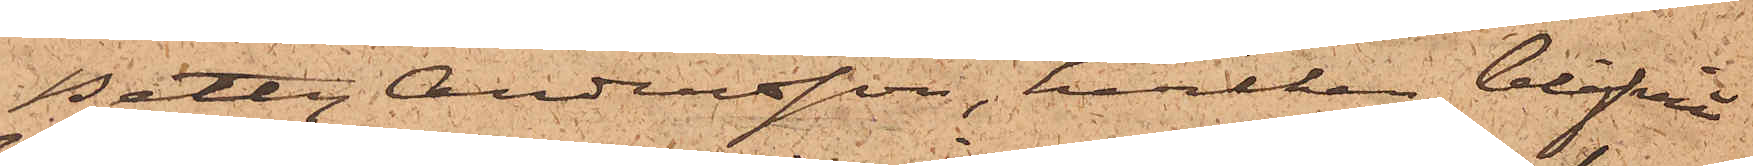Betty Andersson, hvilken blifvit
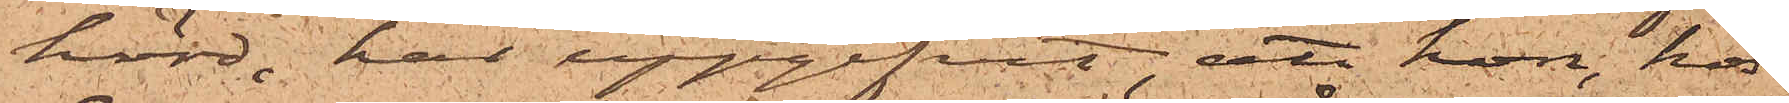hörd, har uppgifvit, att hon, hos
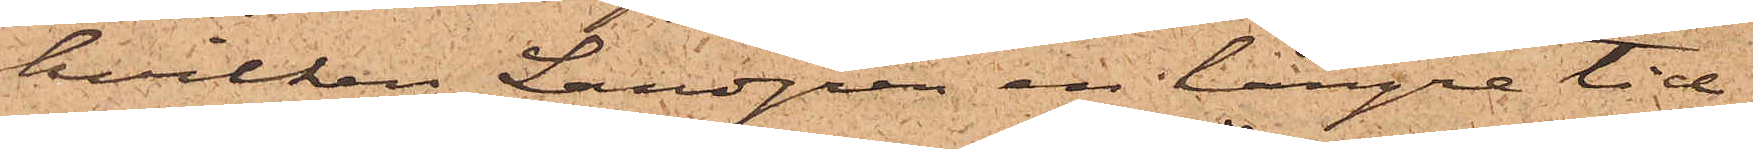hvilken Landgren en längre tid
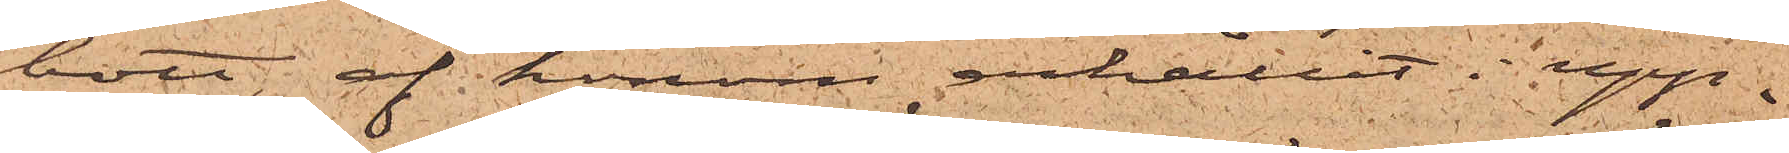bott, af honom erhållit i upp¬
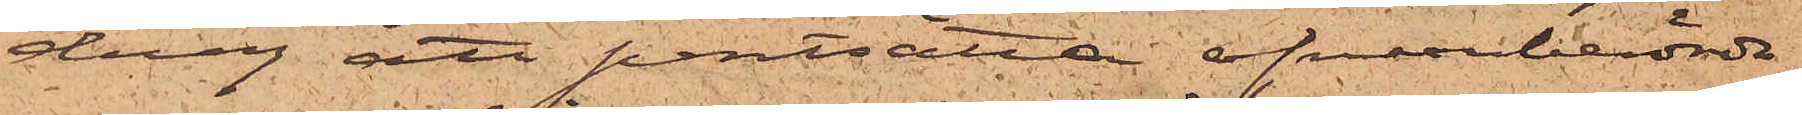drag att pantsätta ofvanberörde
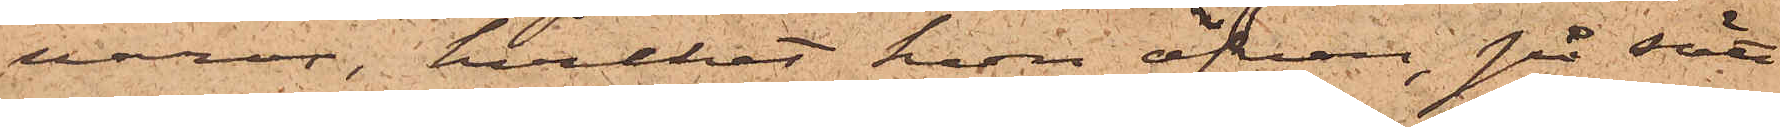varor, hvilket hon äfven, på sätt
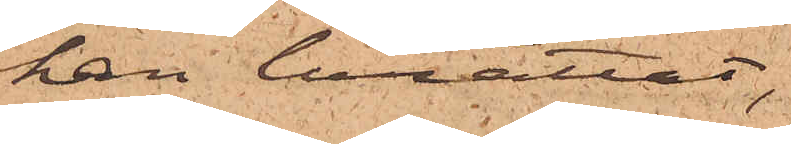han berättat,
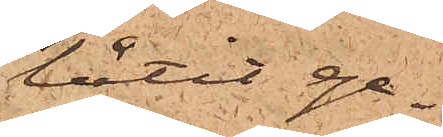låtit ge¬
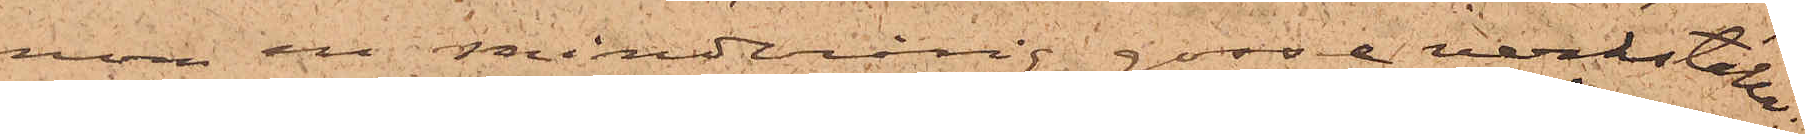nom en minderårig gosse verkställa,
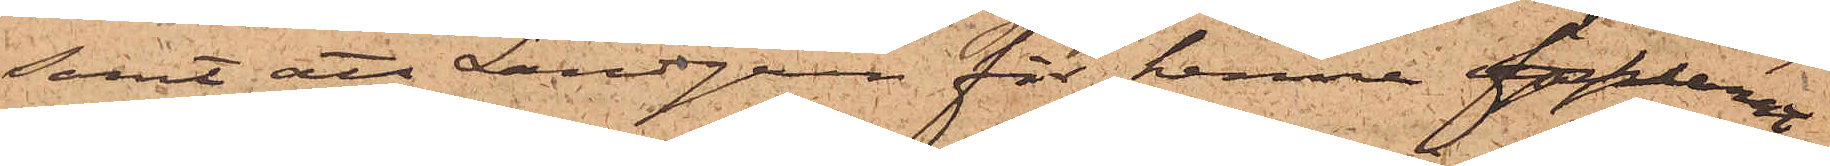samt att Landgren för henne förklarat
